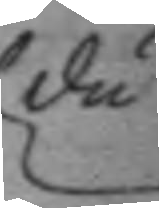du
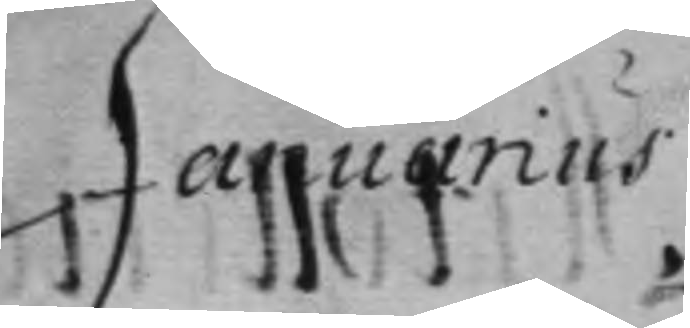Januarius
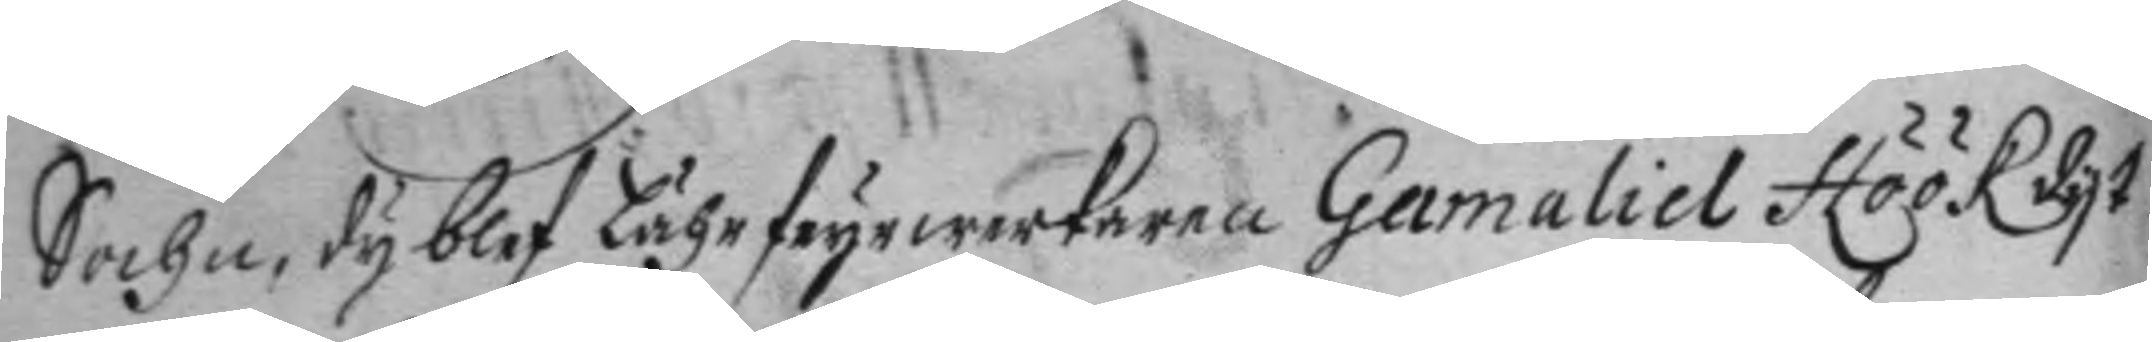Sochn, dy blef Lähr deyrwerkaren Gamaliel Höök dyt
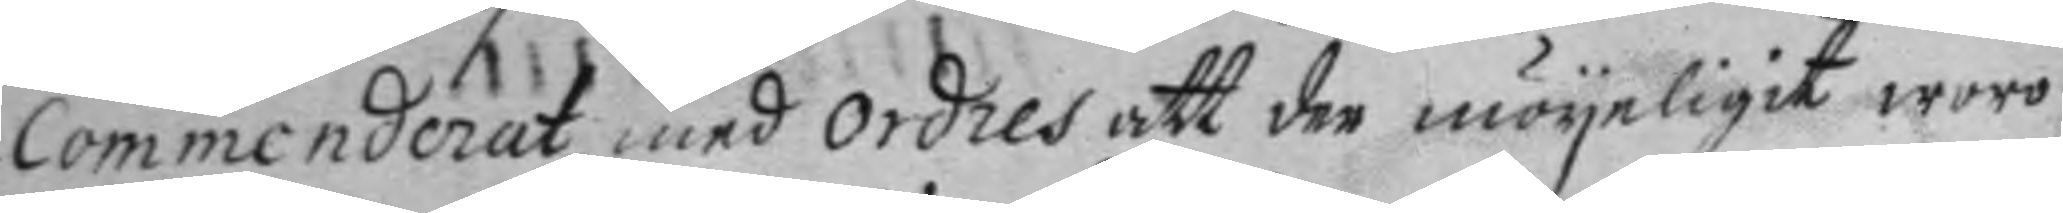commenderat med ordres att der möyeligit woro
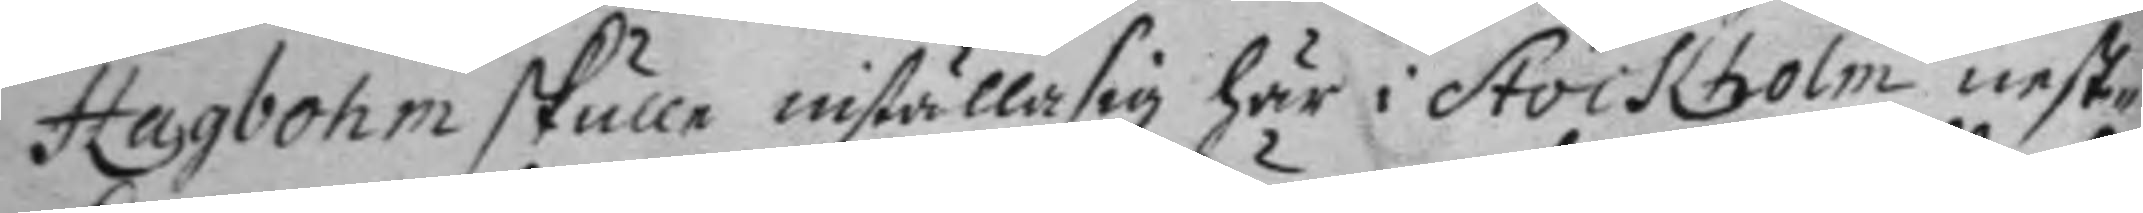Hagbohm skulle inställa sig här i Stockholm nest¬
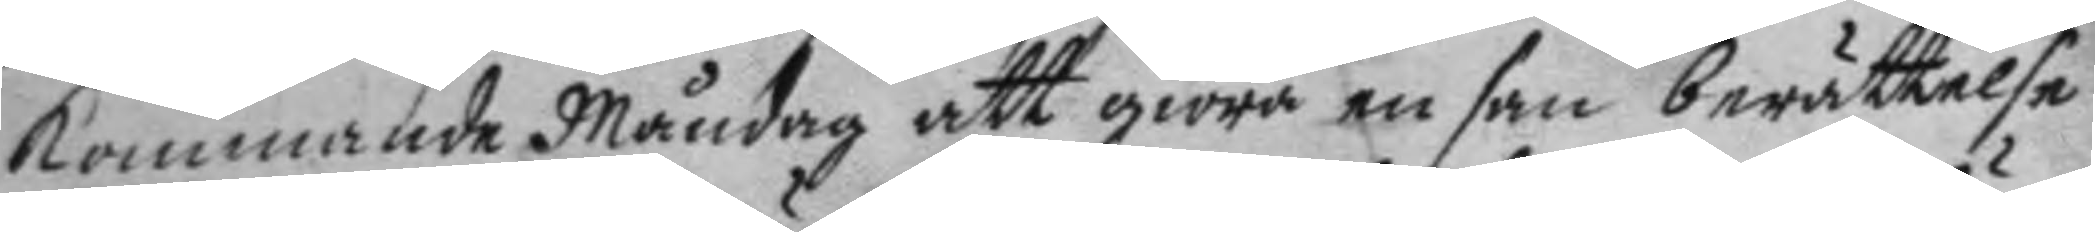kommande Måndag att giöra en san berättelse
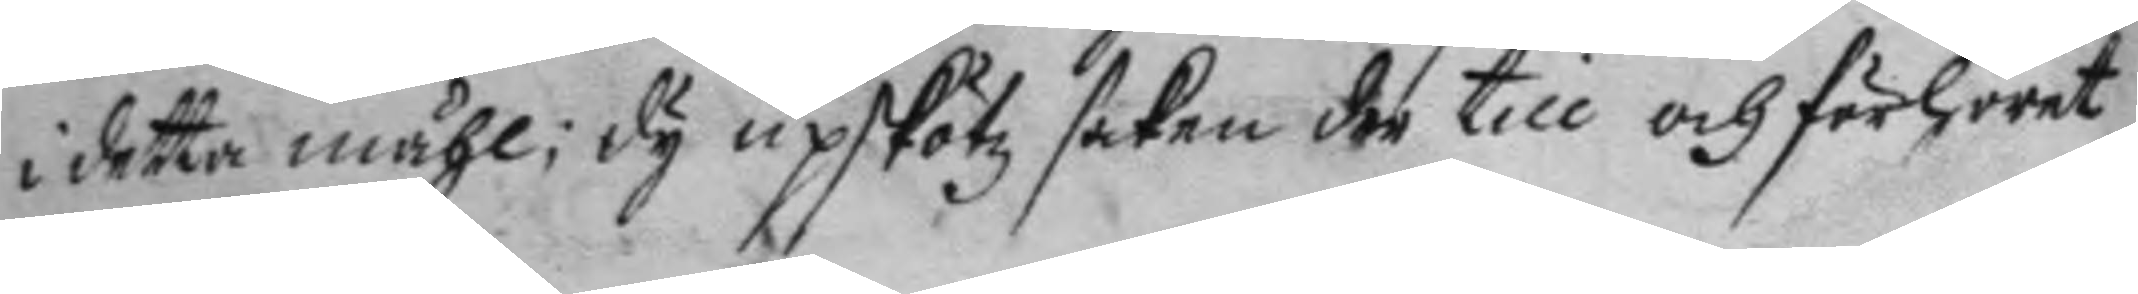i detta måhl; dy upskötz saken der till och förhöret
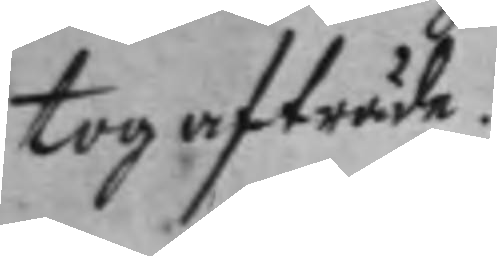tog afträde.
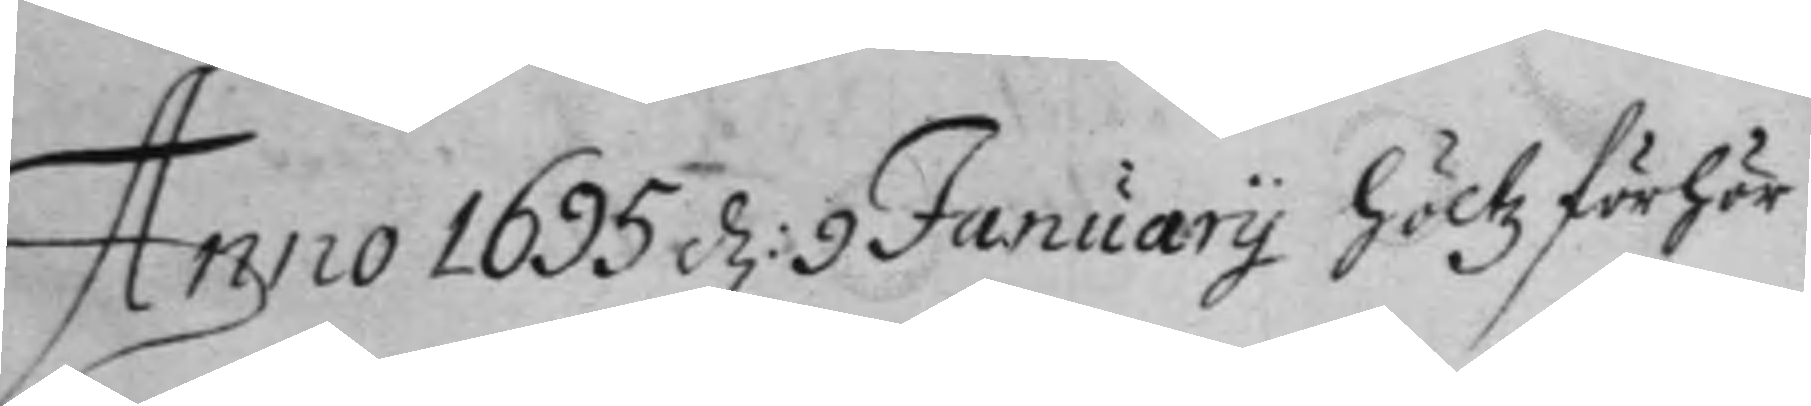Anno 1695 d: 9 january höltz förhör
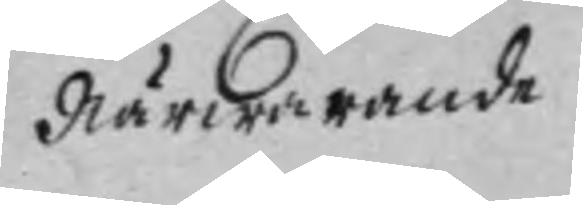närwarande
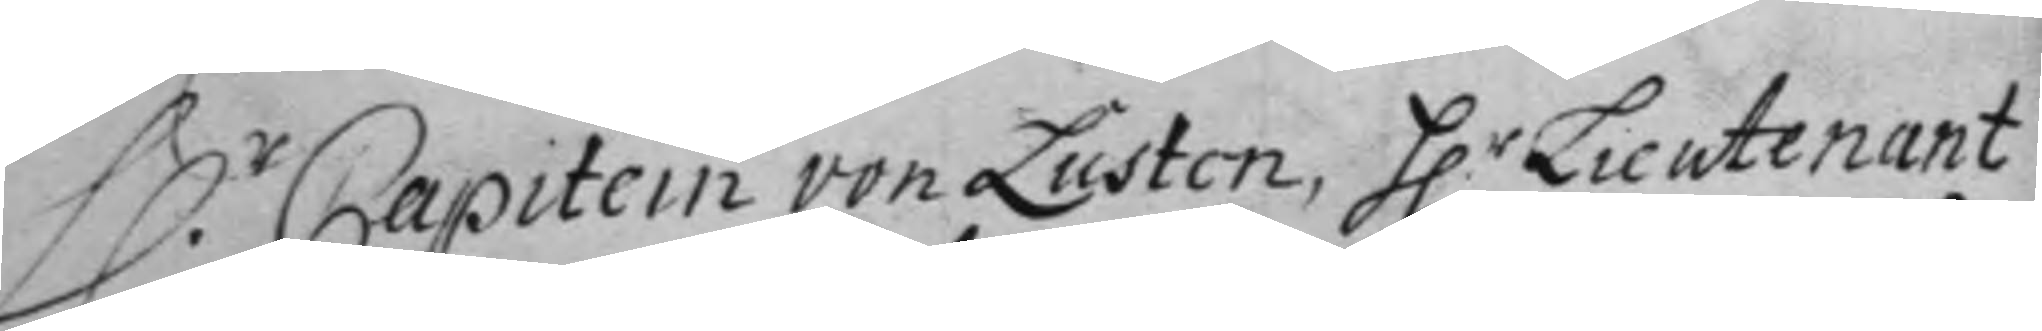H.r Capitein von Lusten, H.r Lieutnant
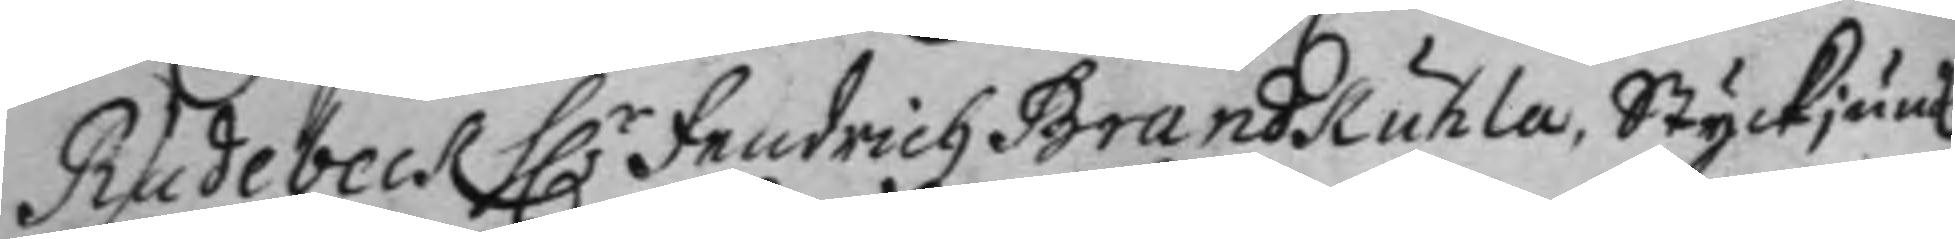Rudebeck H.r Fredrich Brandkuhla, Styckjunk:
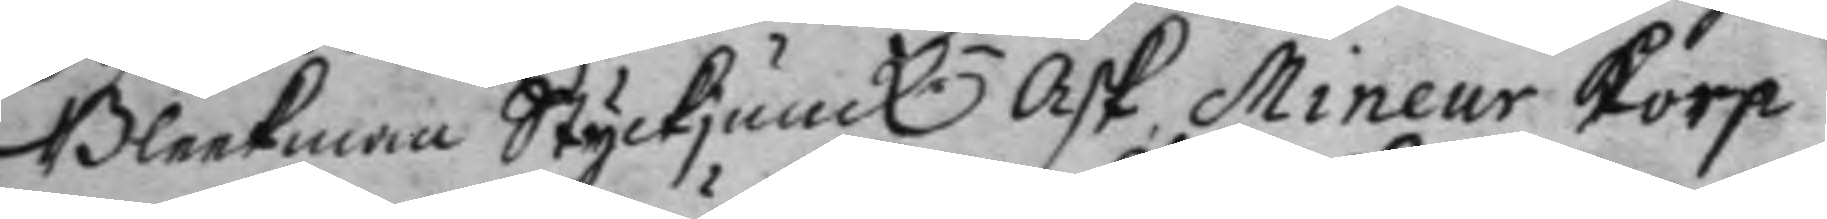Bleekman Styckjunk. Ask, Mineur Korp
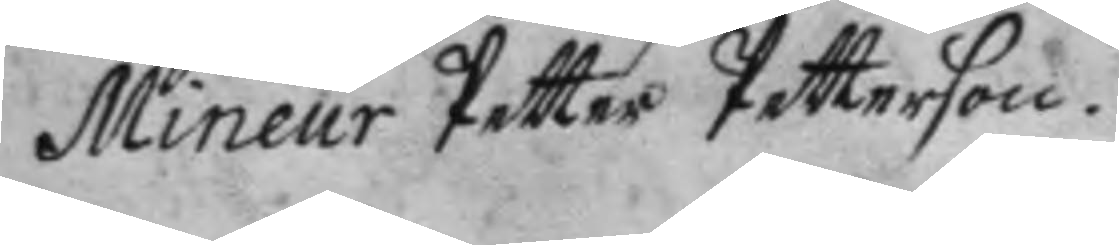Mineur Petter Petterson.
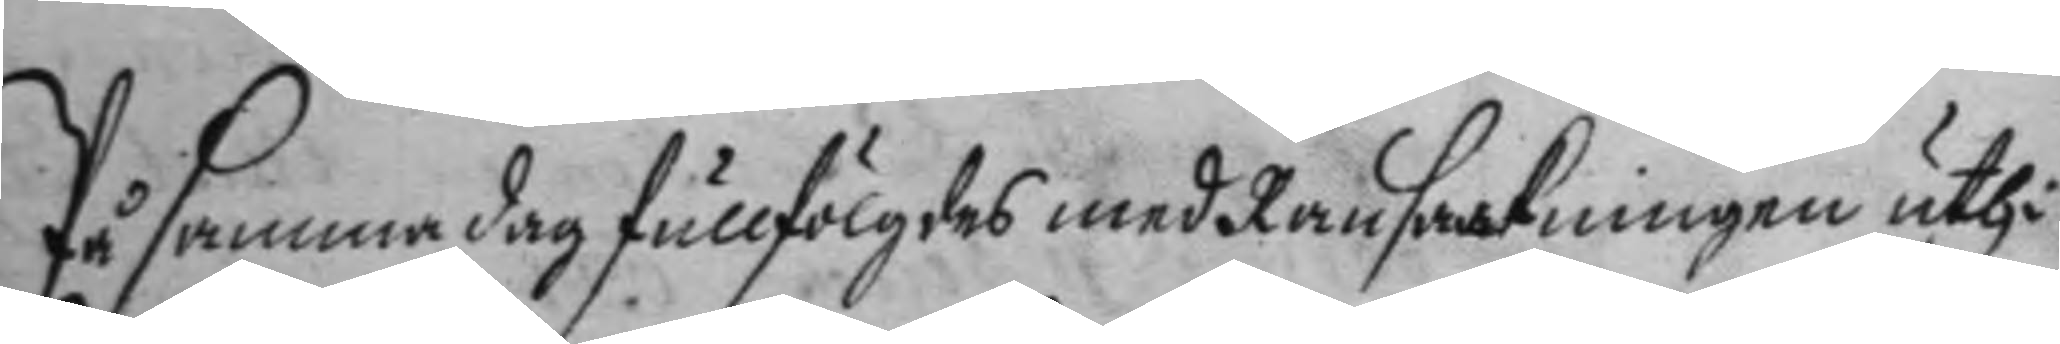På samma dag fullfölgdes med Ransakningen uthi
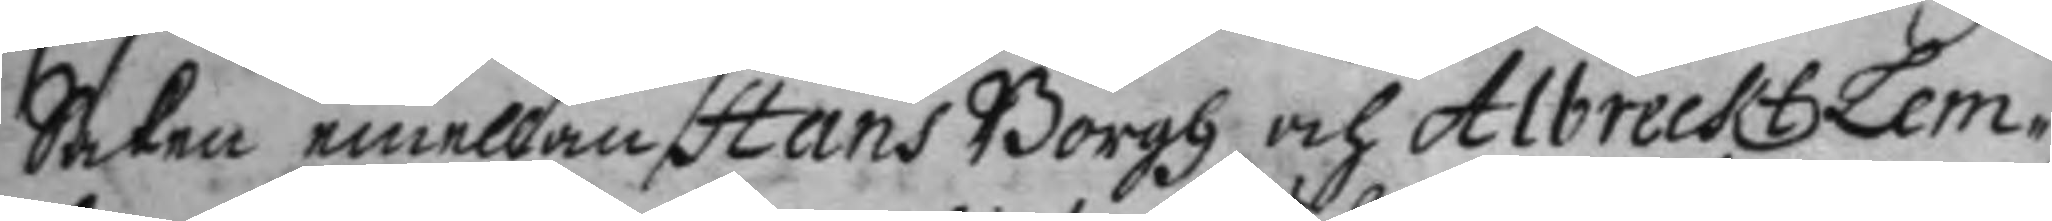Saken emellan Hans Borgh och Albreckt Lem¬
